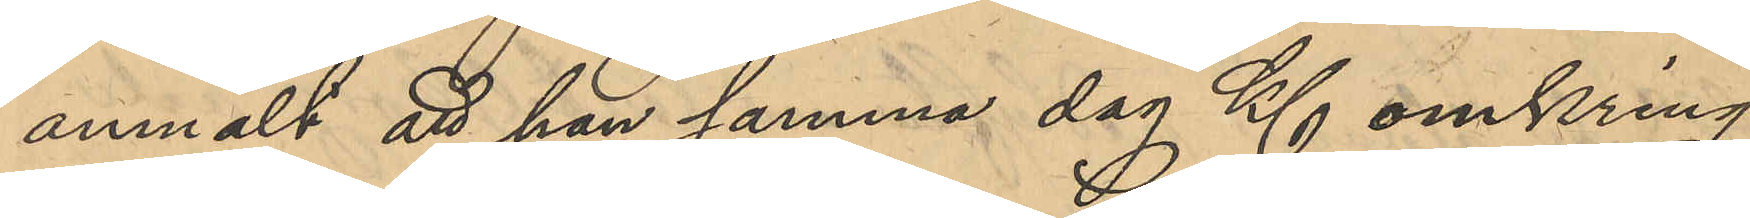anmält att han samma dag Kl omkring
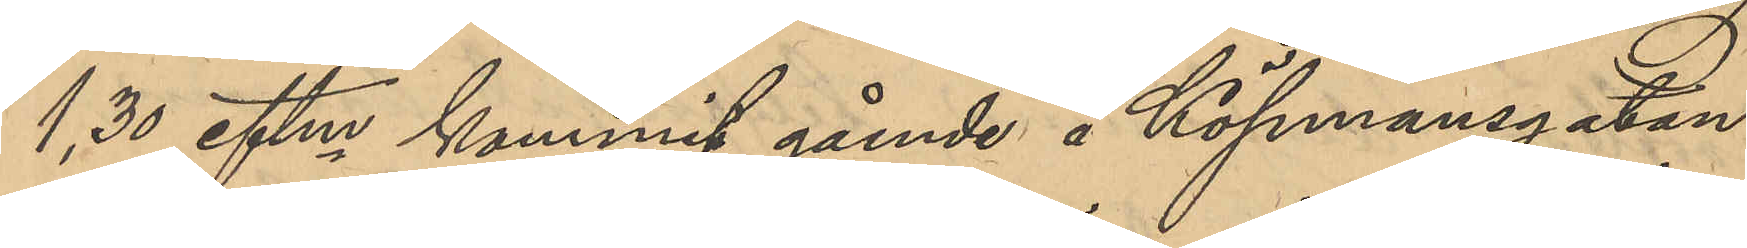1,30 eftm kommit gående å Köpmansgatan
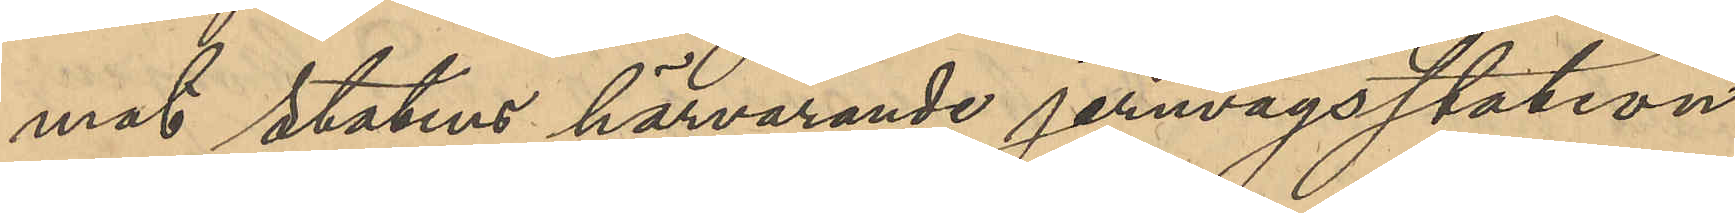mot statens härvarande jernvägsstation
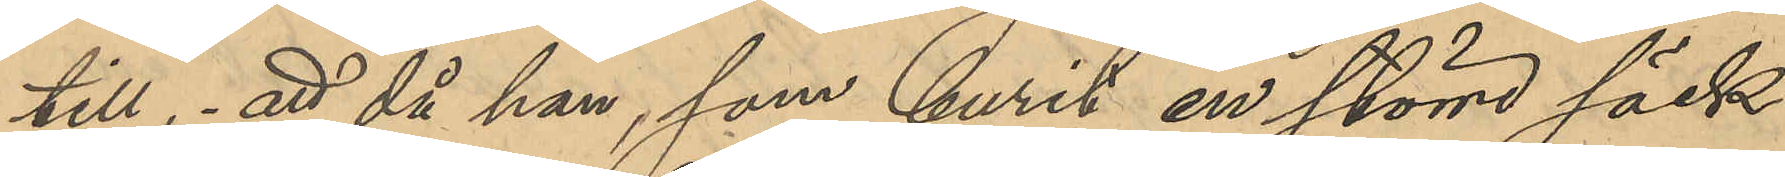till, att då han, som burit en större säck
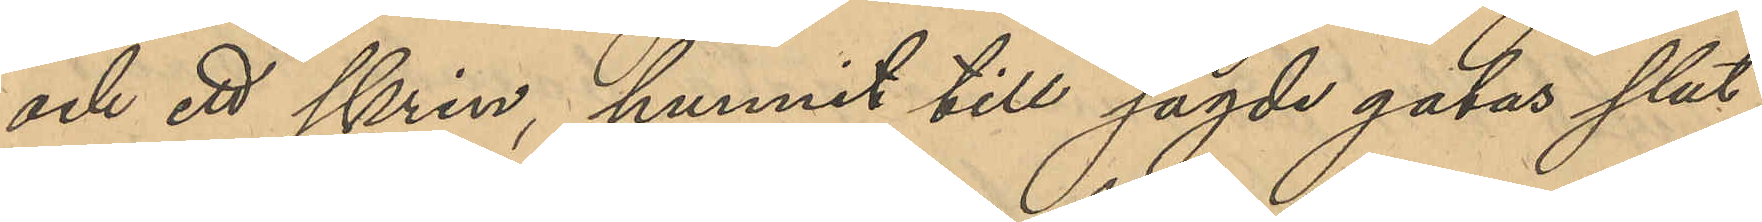och ett skrin, hunnit till sagde gatas slut
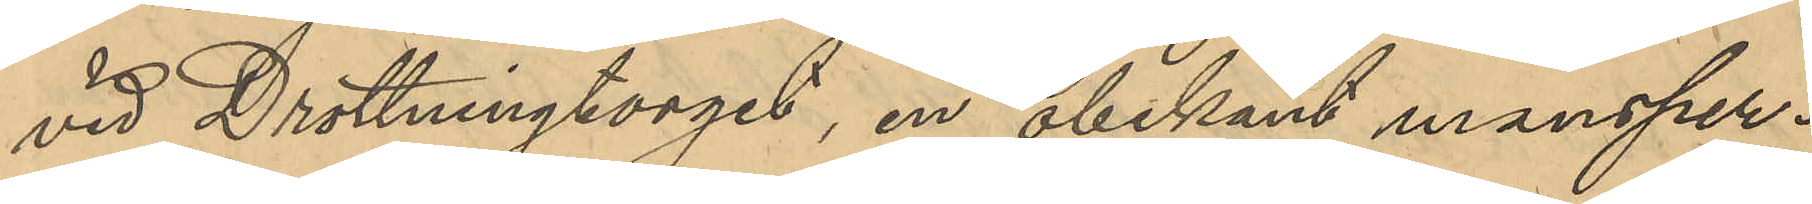vid Drottningtorget, en obekant mansper¬
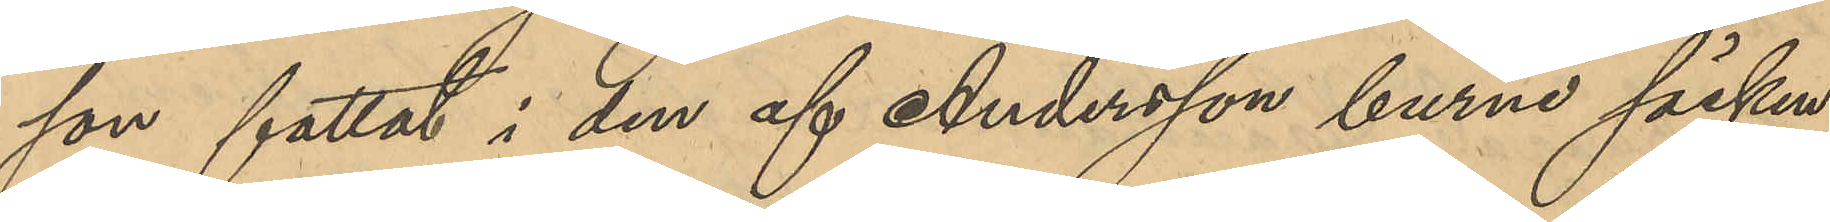son fattat i den af Andersson burne säcken
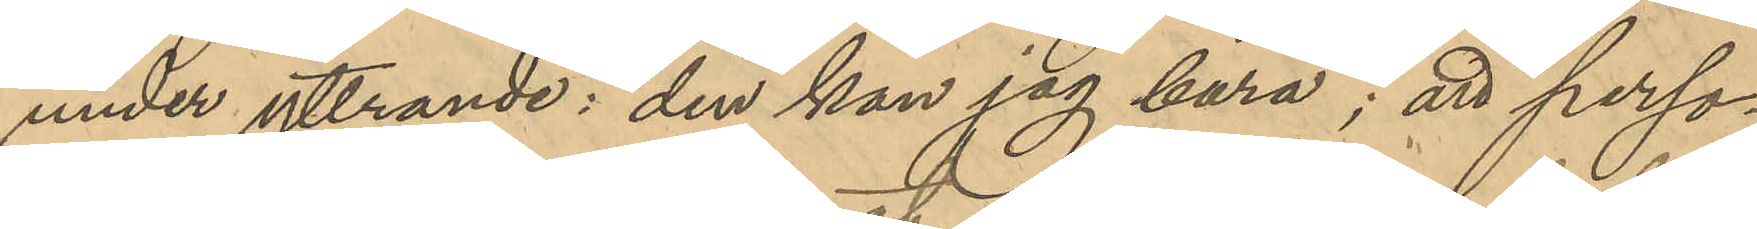under yttrande: "den kan jag bära"; att perso¬
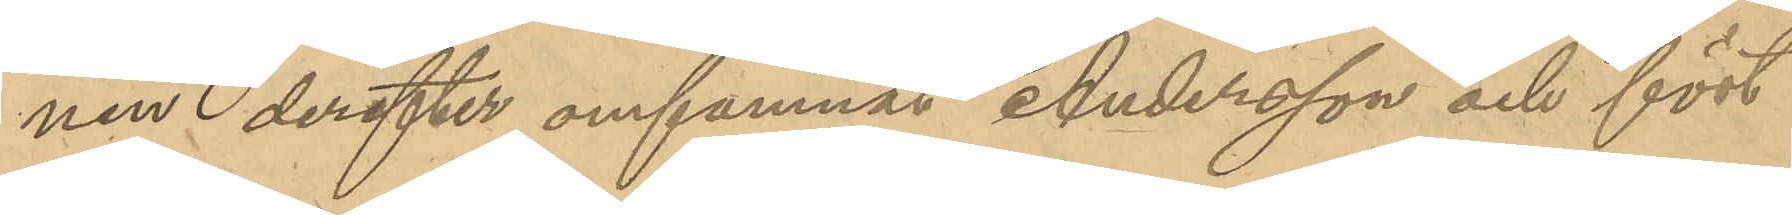nen derefter omfamnat Andersson och fört
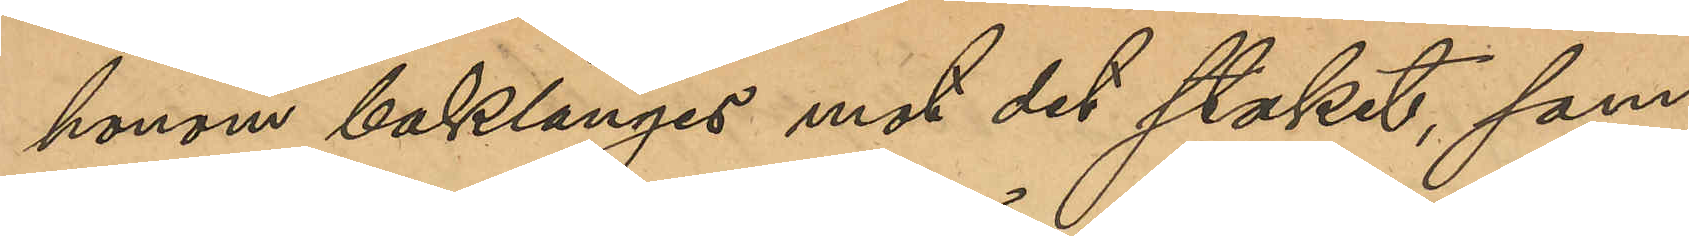honom baklänges mot det staket, som
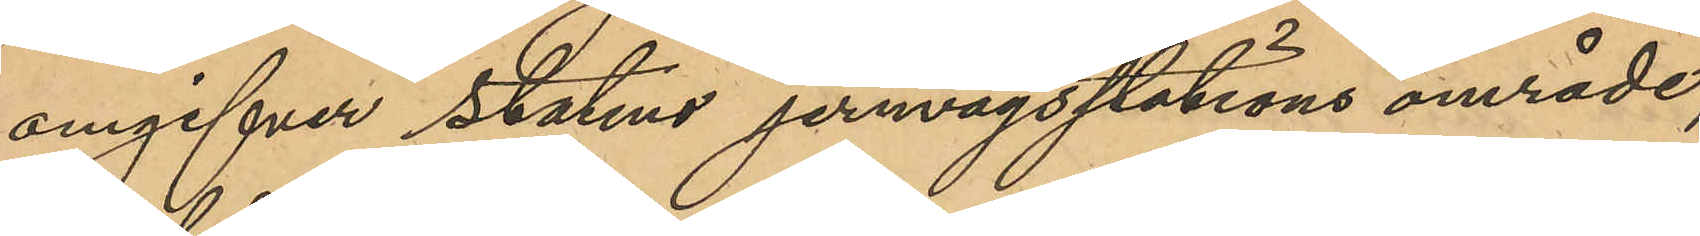omgifver statens jernvägsstations område; 
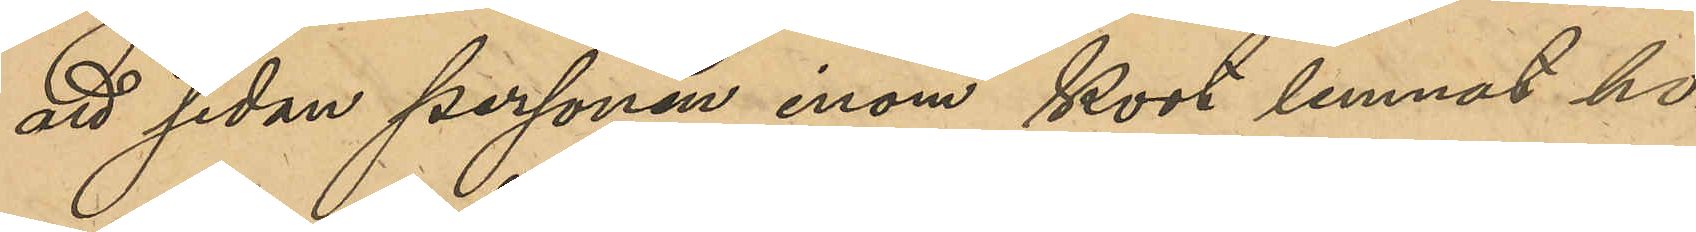att sedan personen inom kort lemnat ho¬
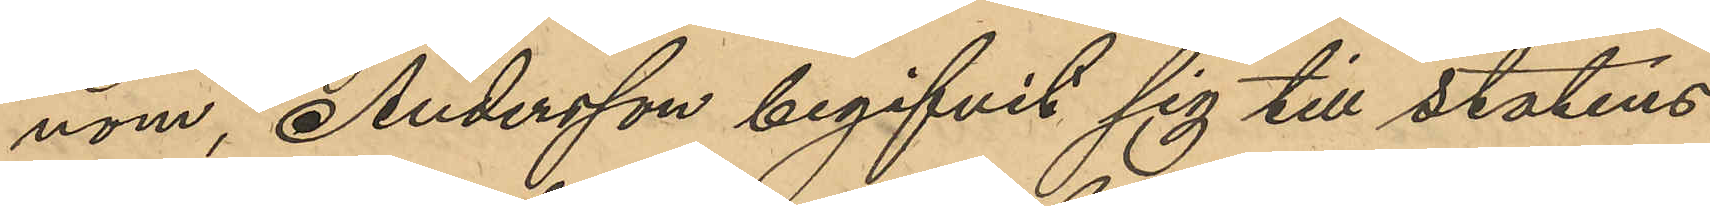nom, Andersson begifvit sig till statens
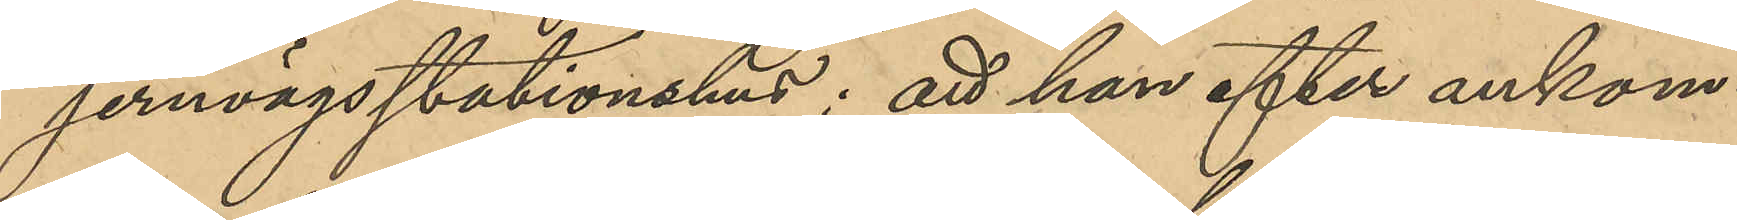jernvägsstationshus; att han efter ankom¬
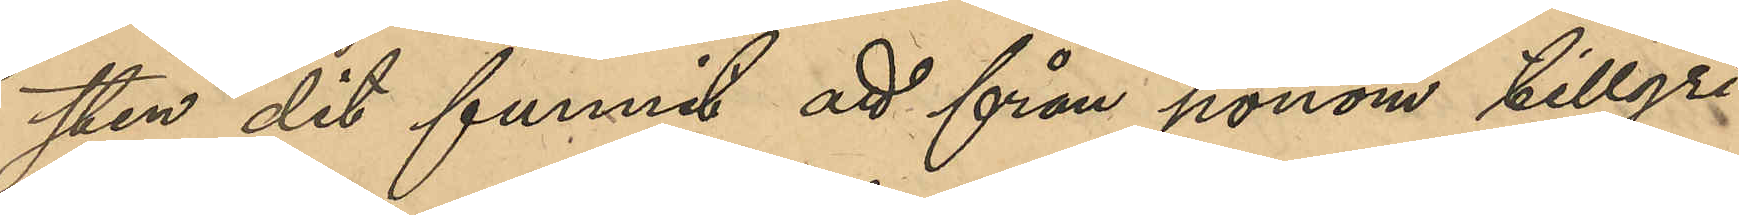sten dit funnit att från honom tillgri¬
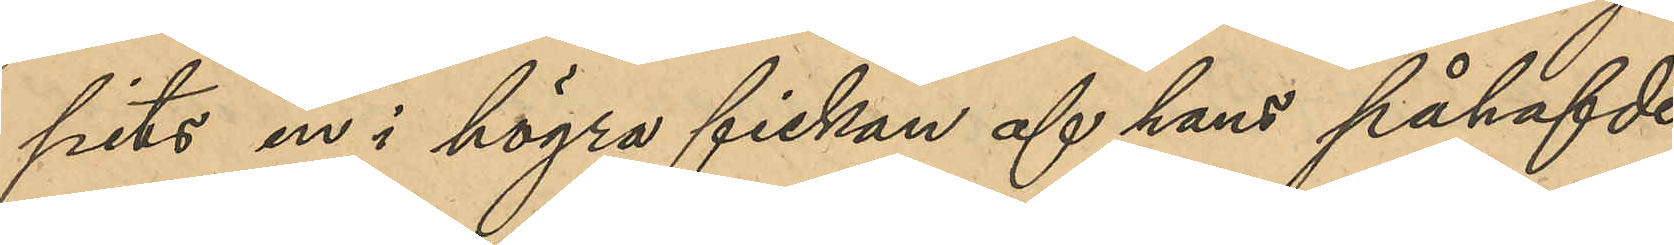pits en i högra fickan af hans påhafvde
